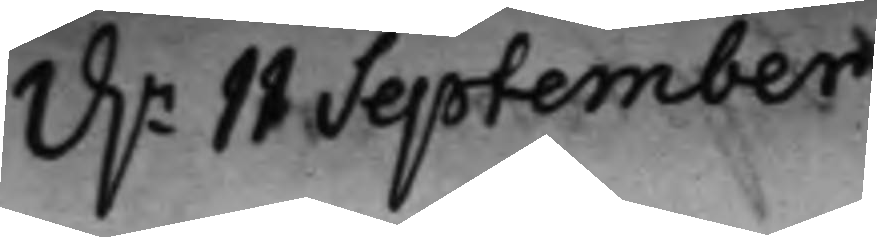d.n 11 September
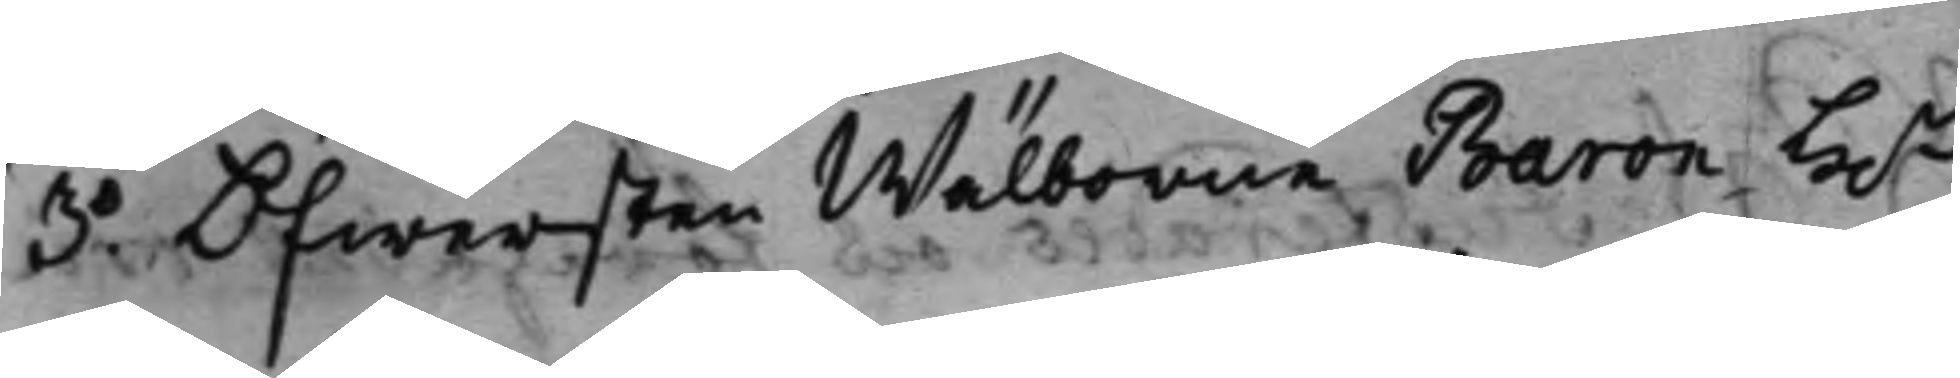3.o Öfwersten Wälborne Baron H.r
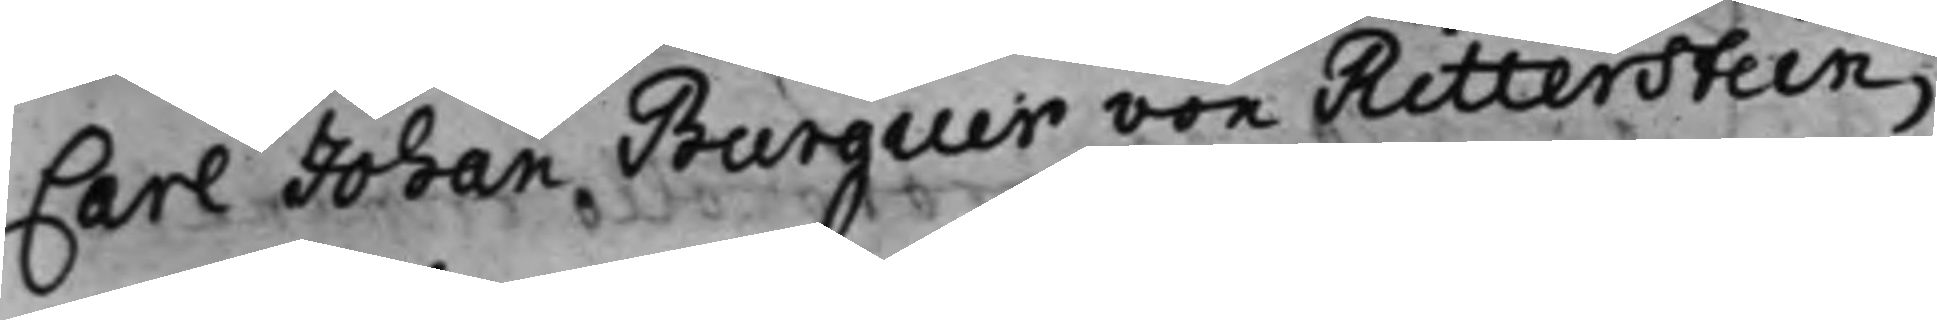Carl Johan Burguer von Ritterstein,
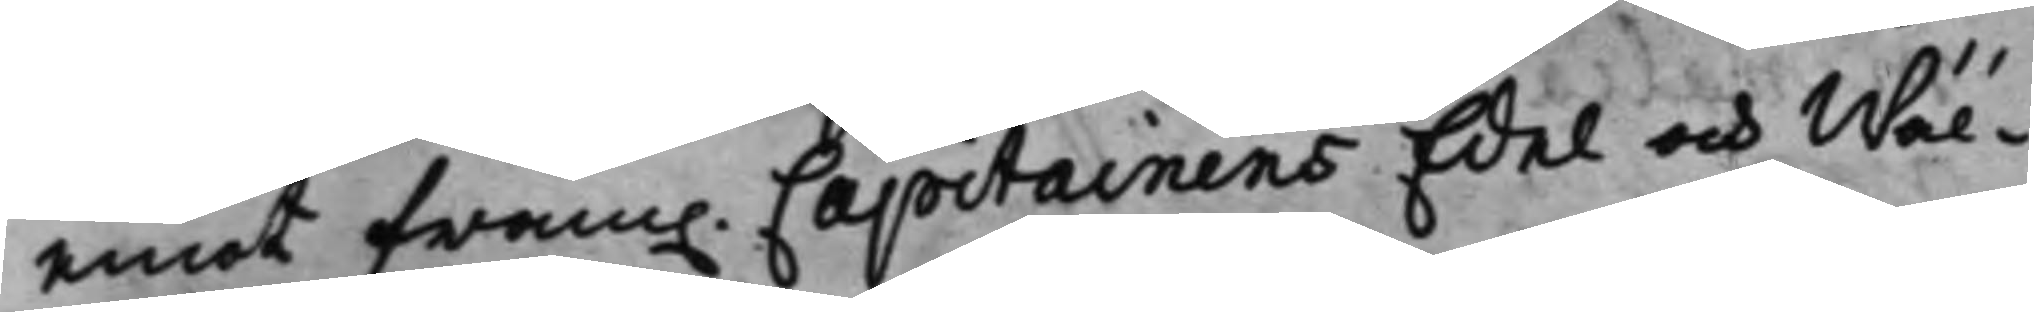emot fram. Capitainens Edel och Wäl¬
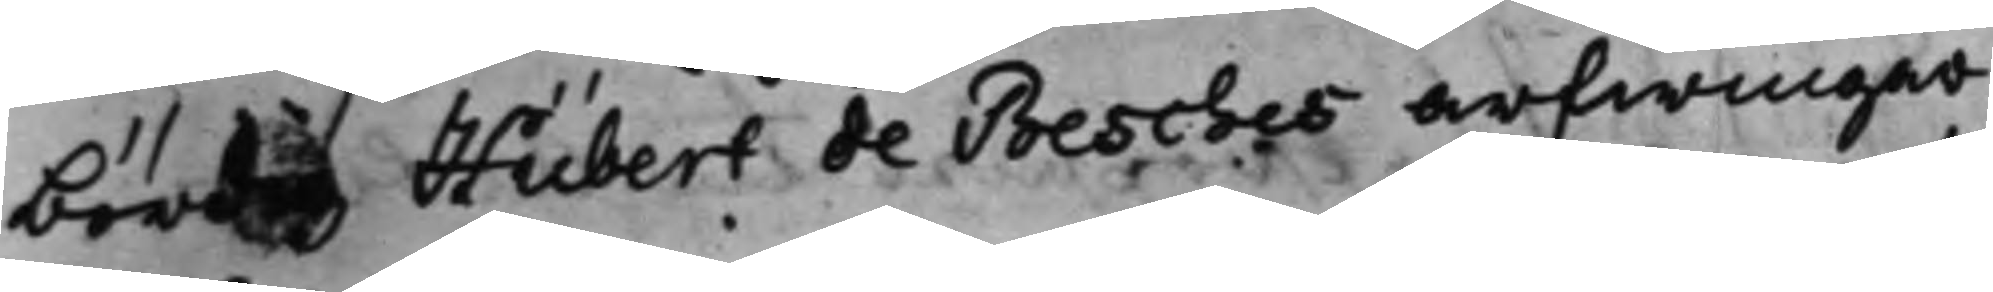bördig Hübert de Besches arfwingar
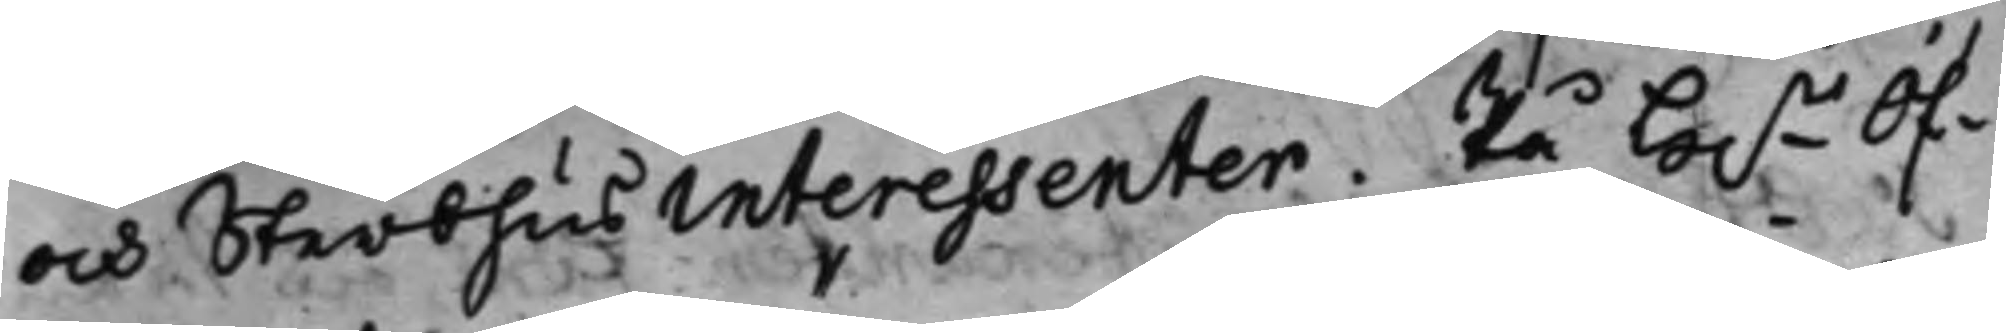och Sterbhus interessenter. På H.r Öf¬
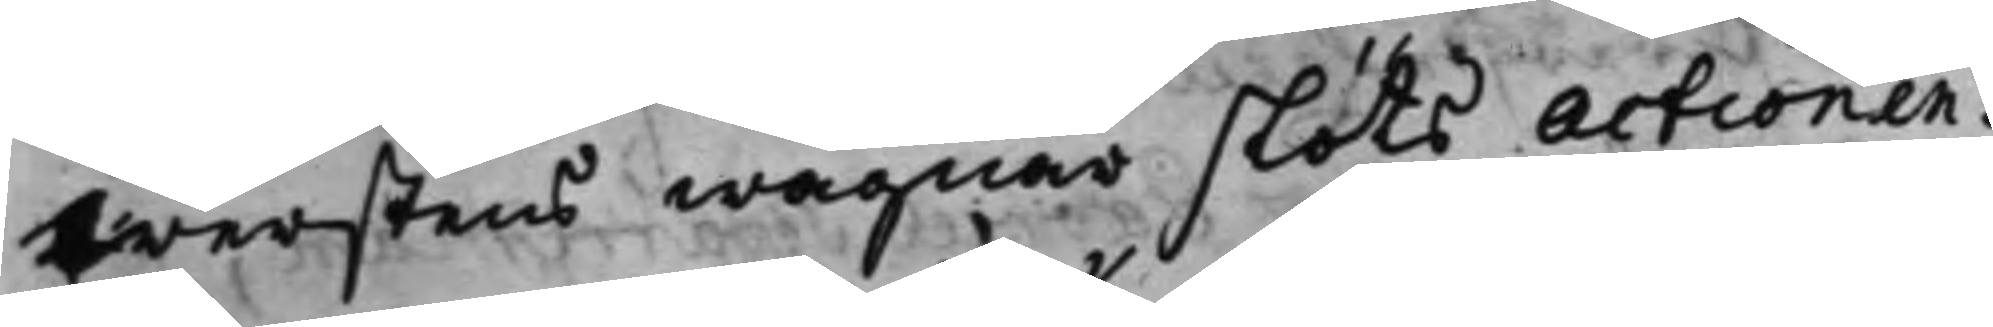werstens wägnar slöts actionen.
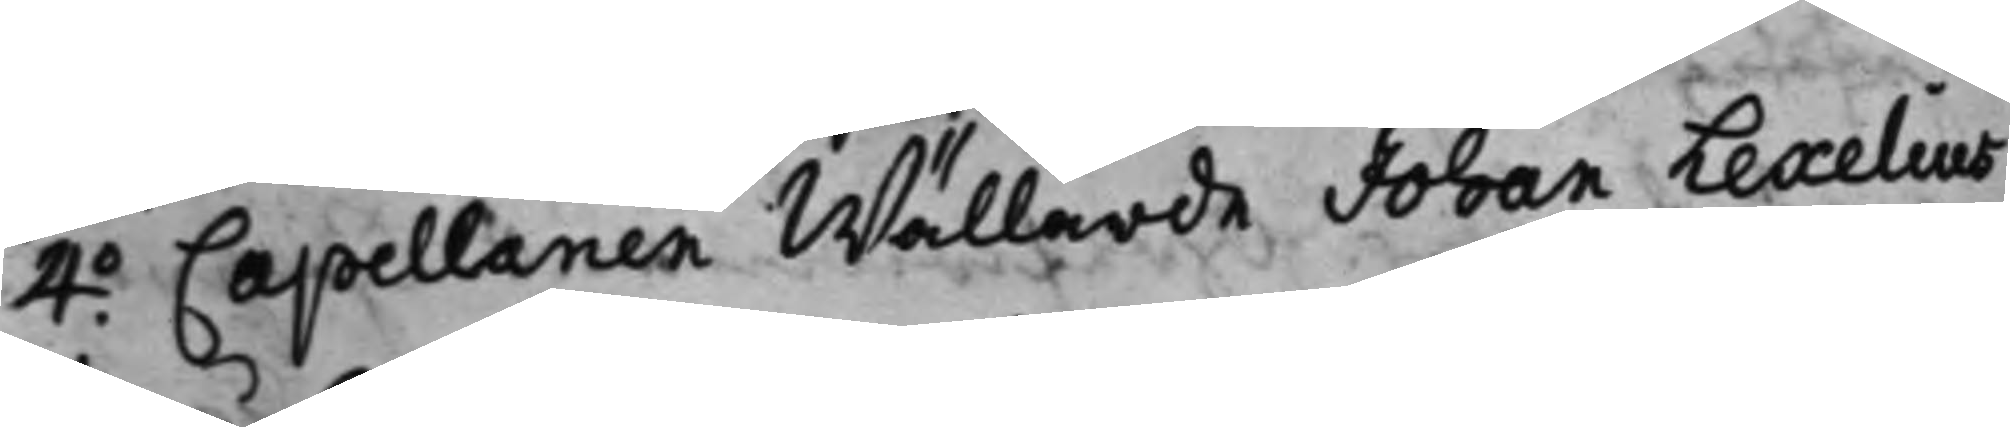4.o Cappellanen Wällärde Johan Lexelius
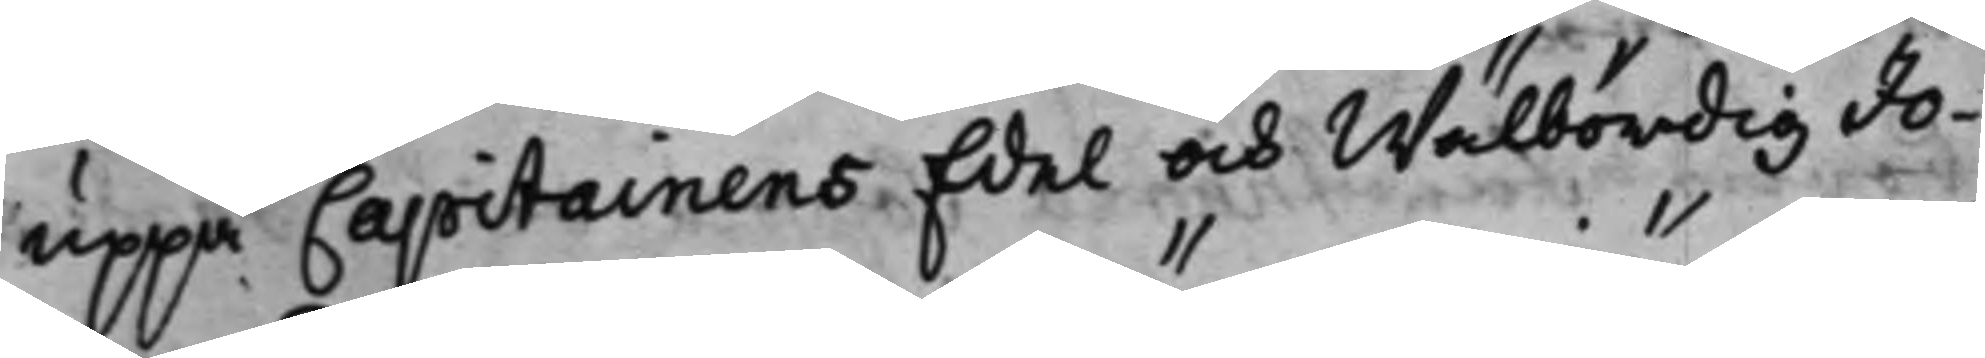uppå Capitainens Edel och Wälbördig Jo¬
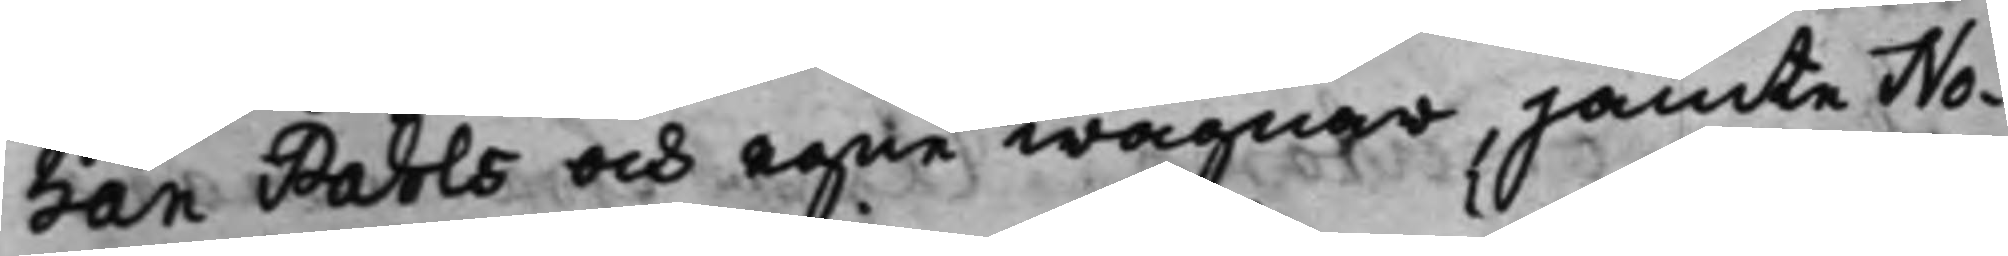han Pahls och egne wägnar, jämte No¬
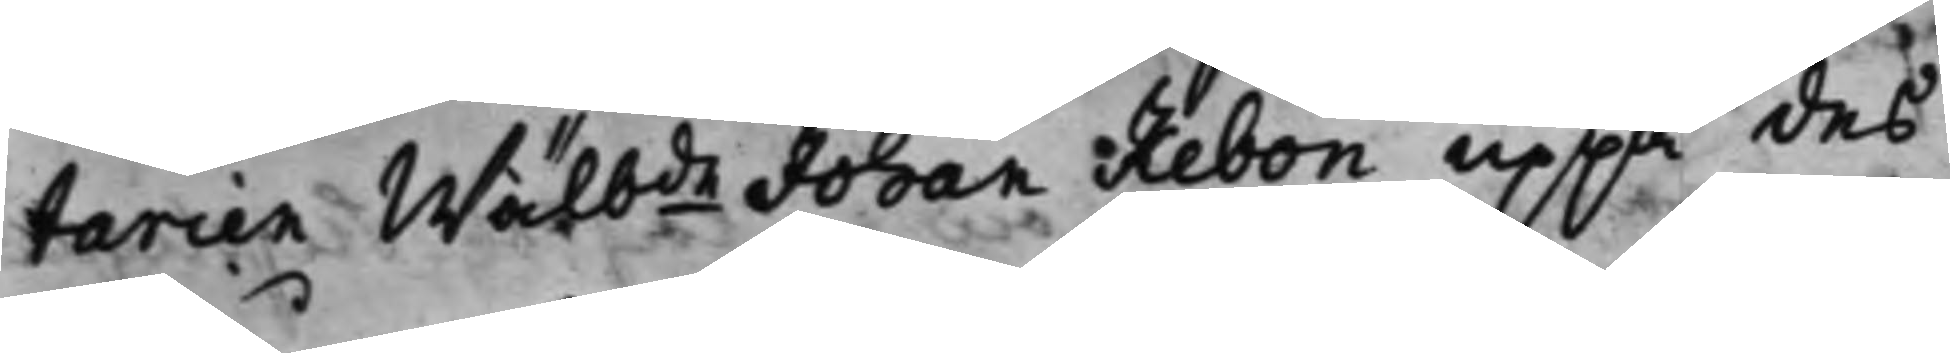tarien Wälbde Johan Rebon uppå des
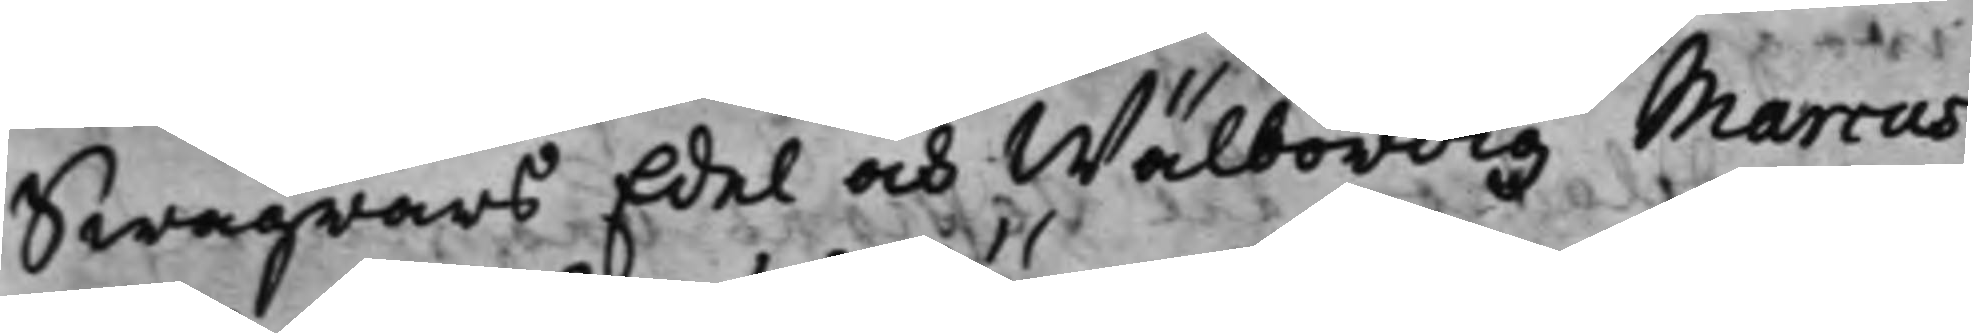swågrars Edel och Wälbördig Marcus
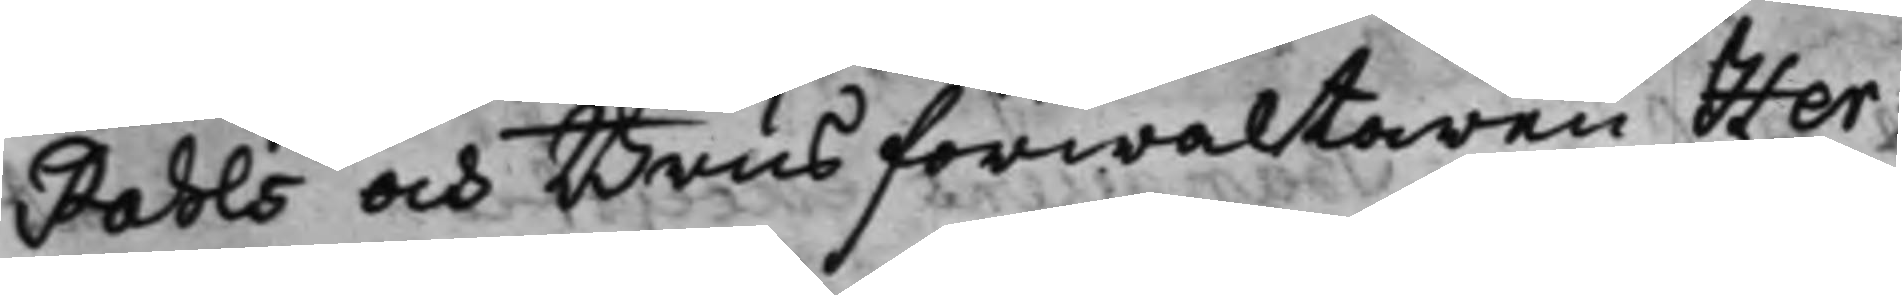Pahls och Brus förwaltaren Her¬
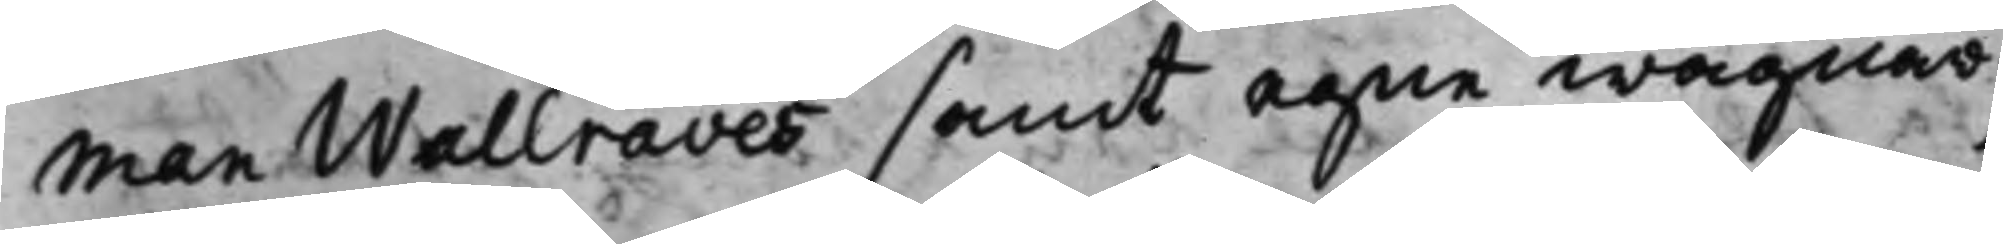man Wallraves samt egne wägnar;
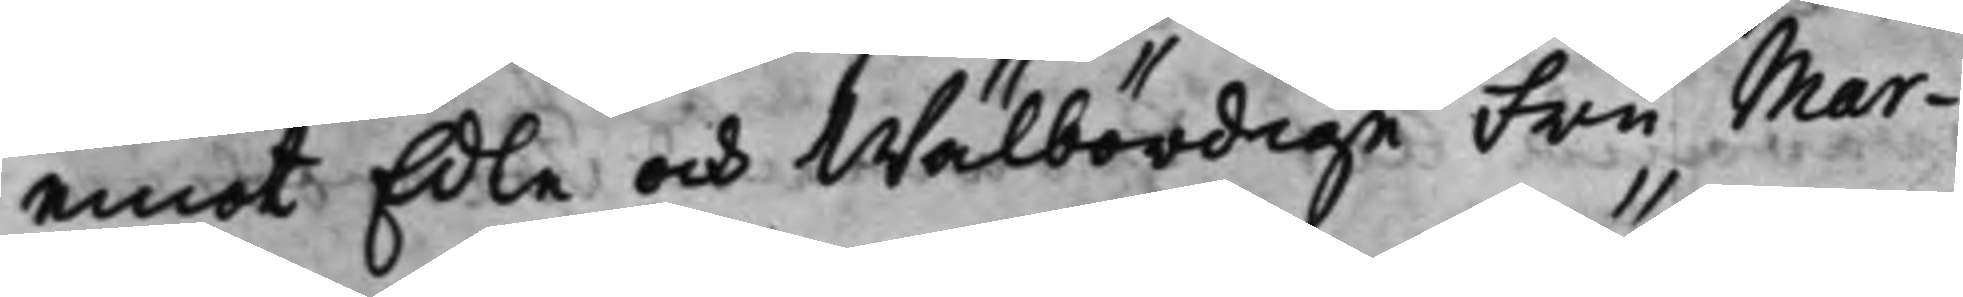emot Edle och Wälbördige Fru Mar¬
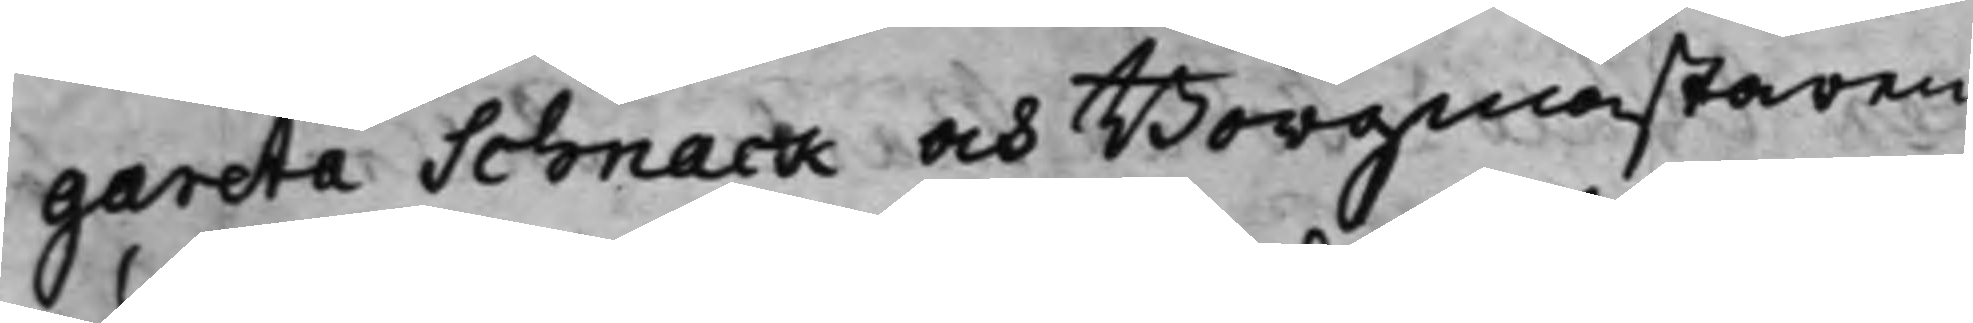gareta Schnack och Borgmästaren
